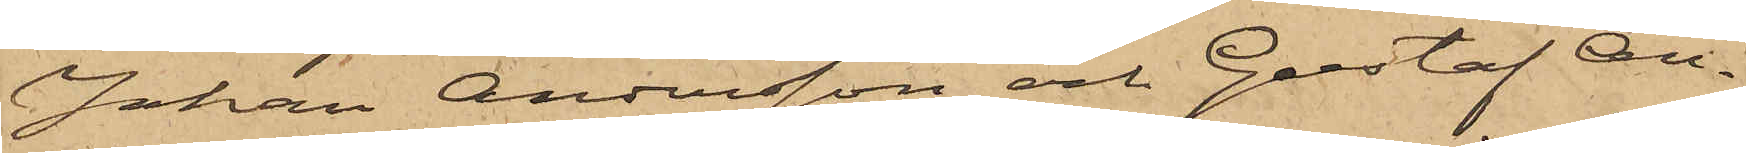Johan Andersson och Gustaf An¬
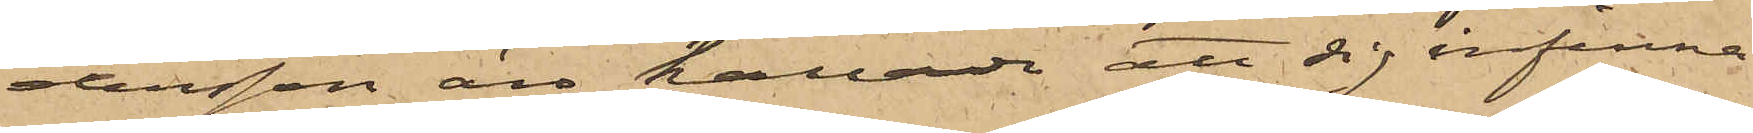dersson äro kallade att sig infinna
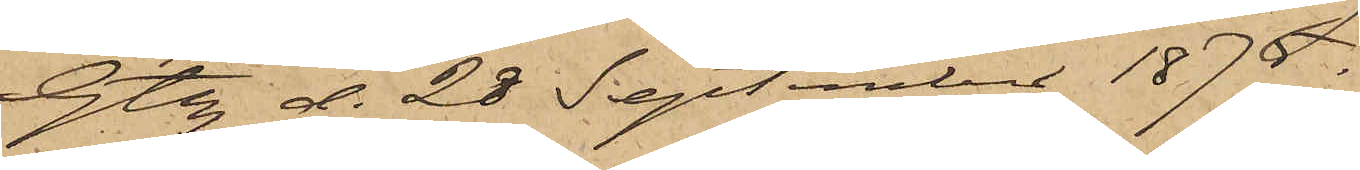Gtbg d. 28 September 1875.
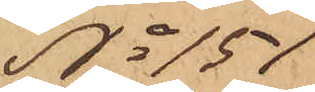No 151
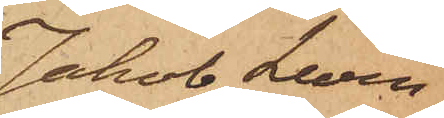Jakob Levin.
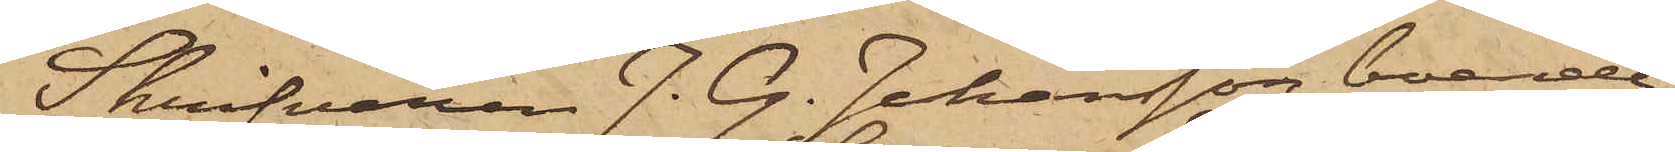Skrifvaren J. G. Johansson, boende i
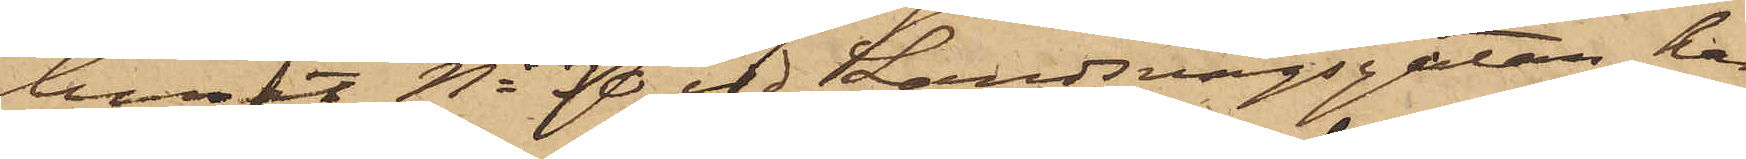huset No 30 vid Landsvägsgatan, har
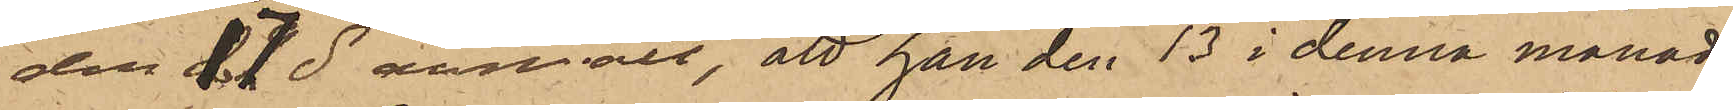den 17 ds anmält, att han den 13 i denna månad
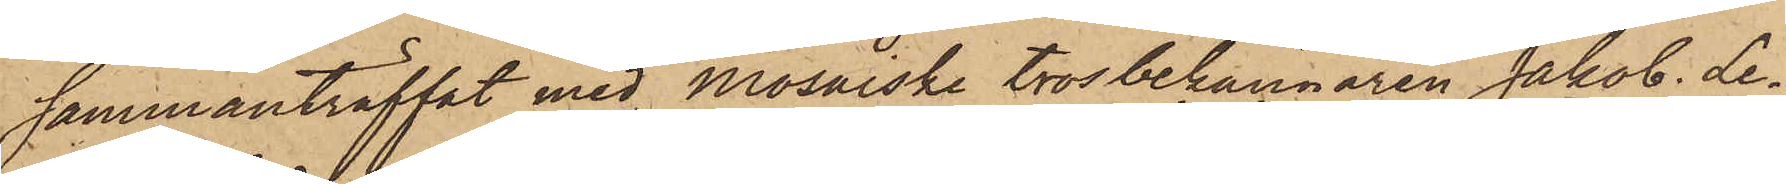sammanträffat med Mosaiske trosbekännaren Jakob Le¬
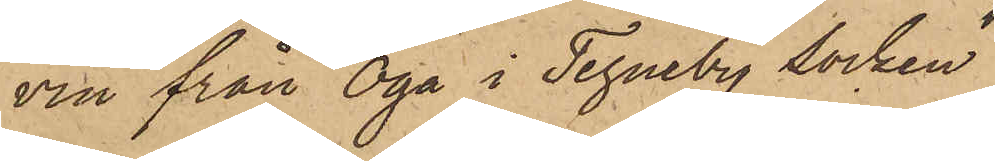vin från Oga i Tegneby Socken
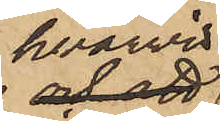hvarvid
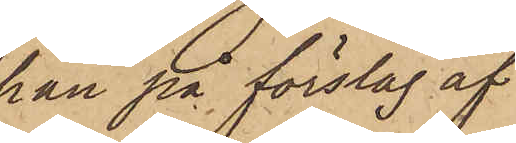han på förslag af
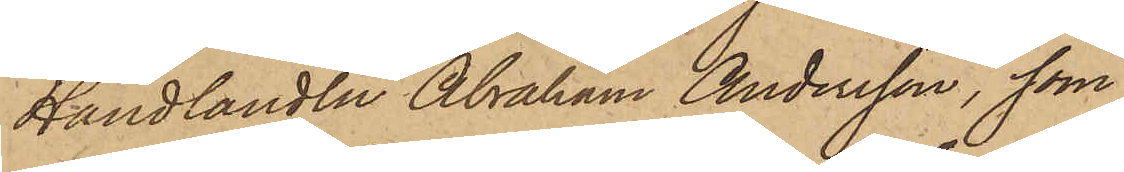Handlanden Abraham Andersson, som
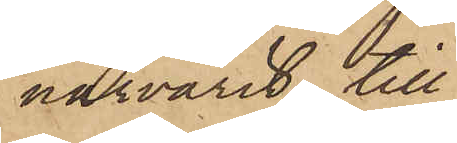närvarit, till
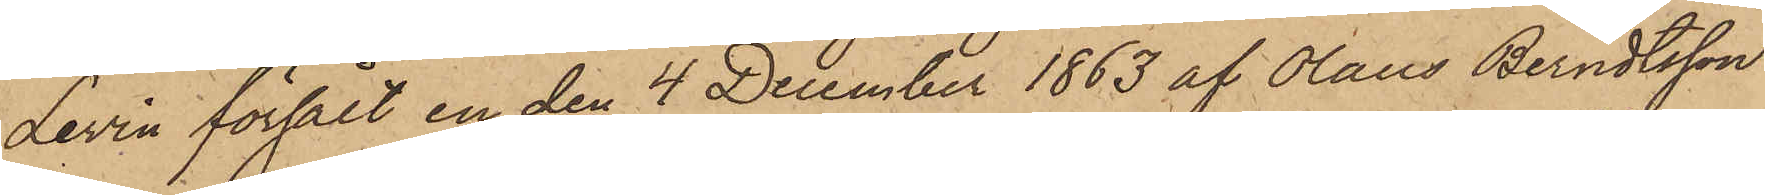Levin försålt en den 4 December 1863 af Olaus Berndtsson
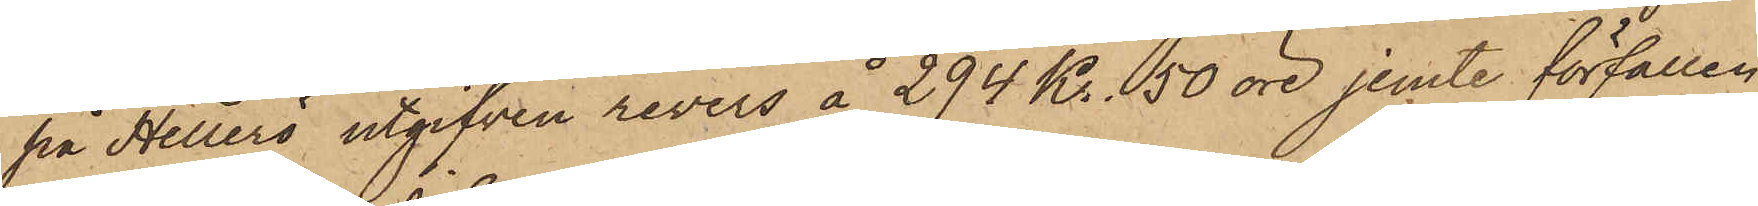på Hellerö utgifven revers å 294 Kr. 50 öre jemte förfällen
